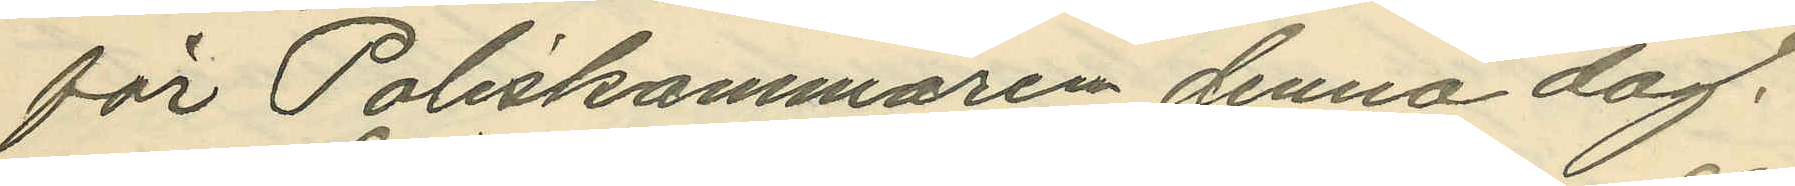för Poliskammaren denna dag.
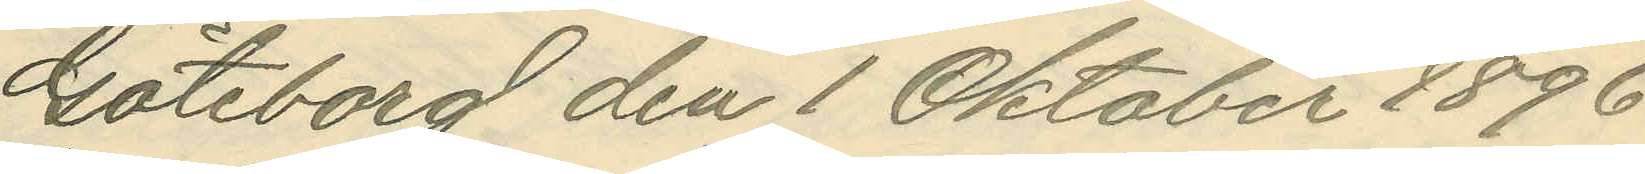Göteborg den 1 Oktober 1896.
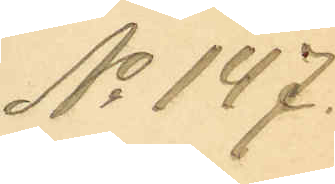No 147.
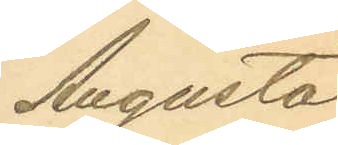Augusta
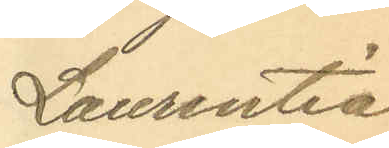Laurentia
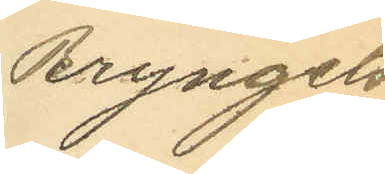Bryngels¬
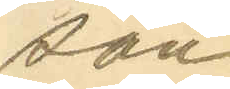son
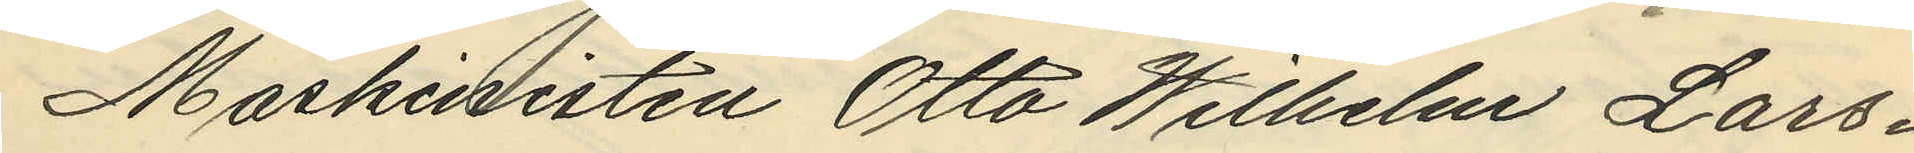Maskinisten Otto Wilhelm Lars¬
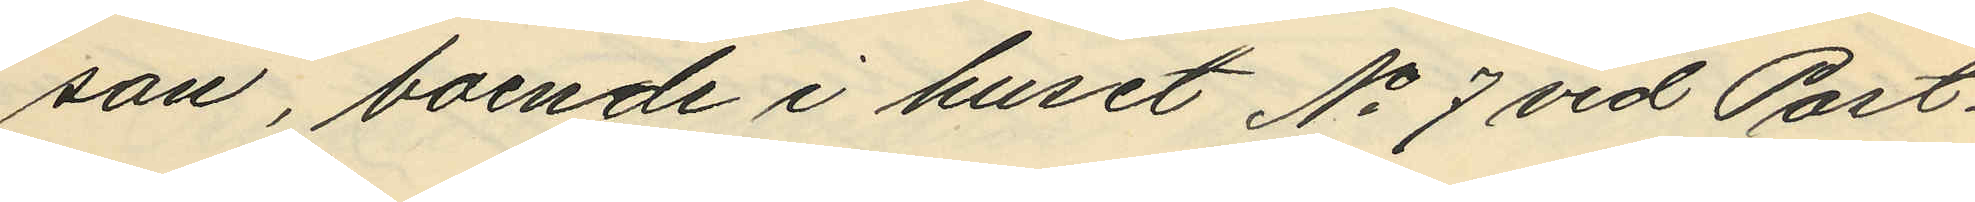son, boende i huset No 7 vid Post¬
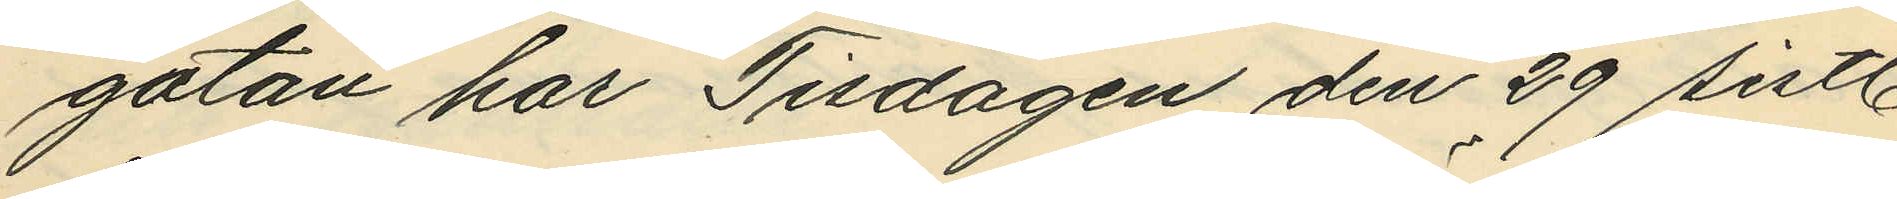gatan har Tisdagen den 29 sistl.
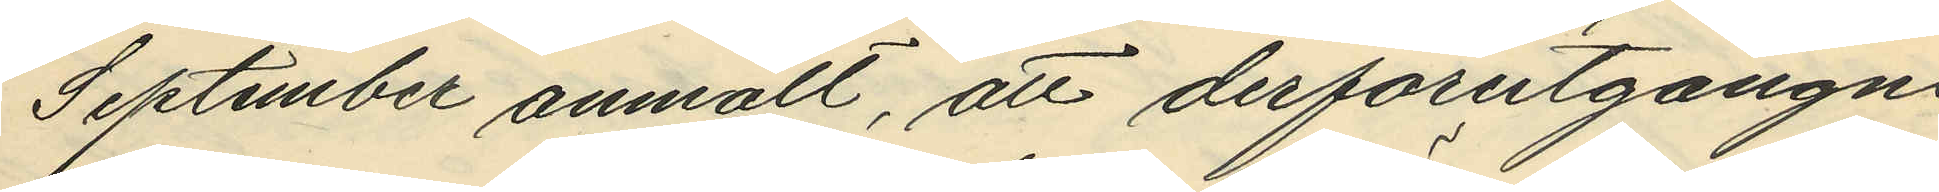September anmält, att derförutgångne
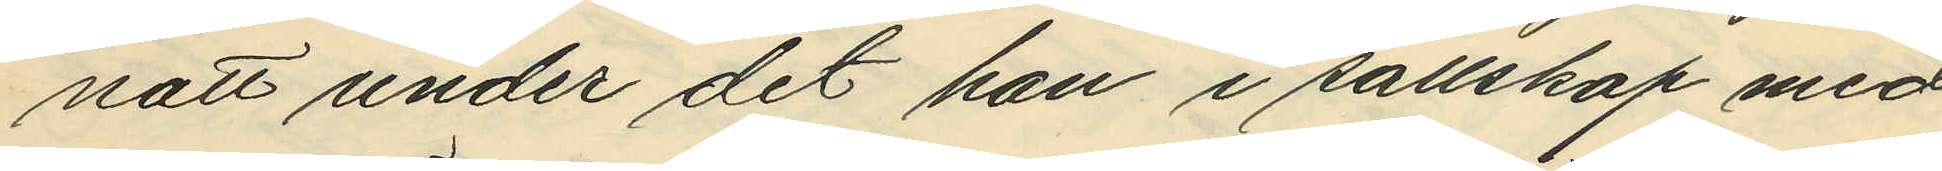natt under det han i sällskap med
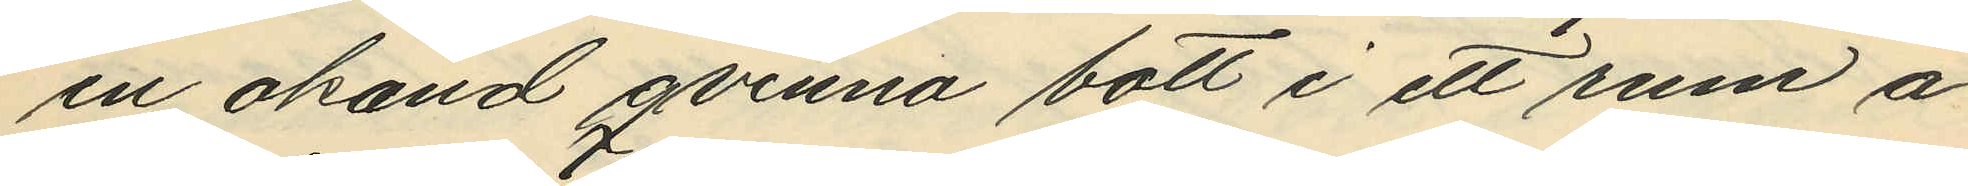en okänd qvinna bott i ett rum å
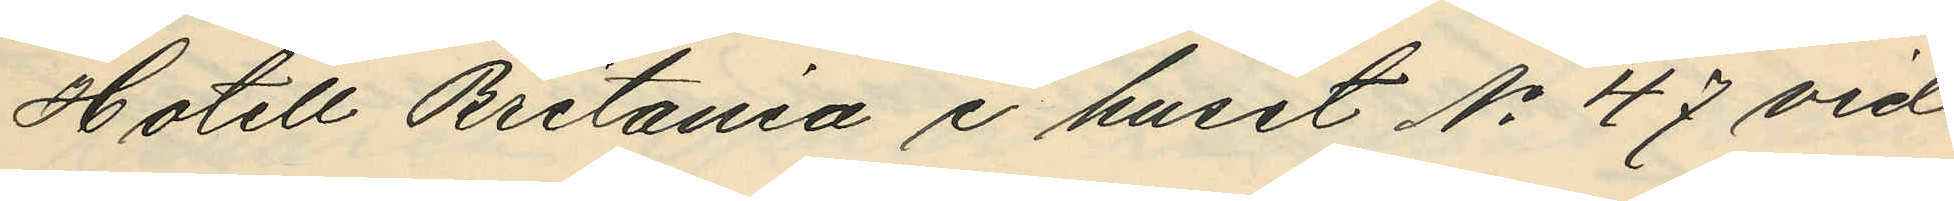Hotell Britania i huset No 47 vid
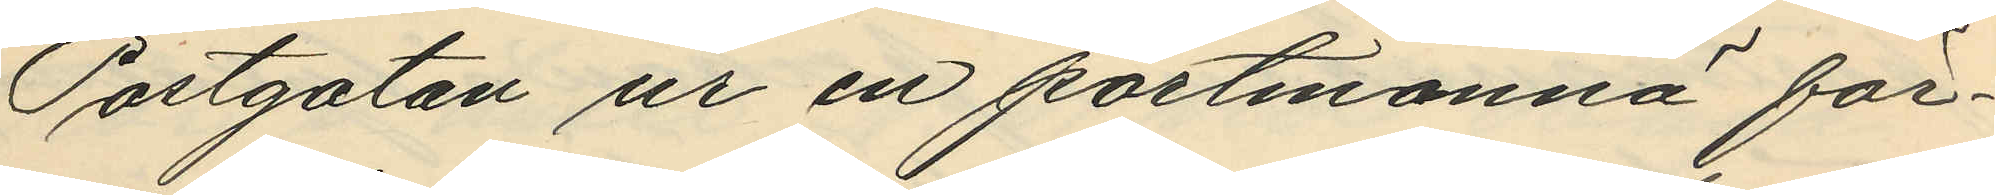Postgatan ur en portmonnä för¬
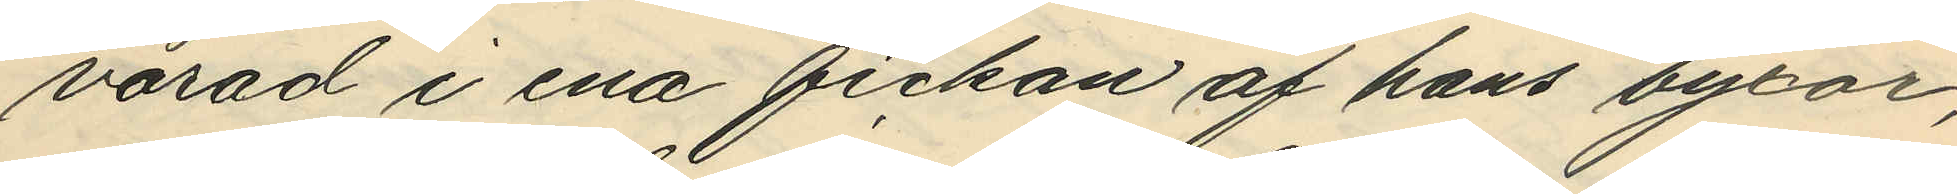varad i ena fickan af hans byxor,
